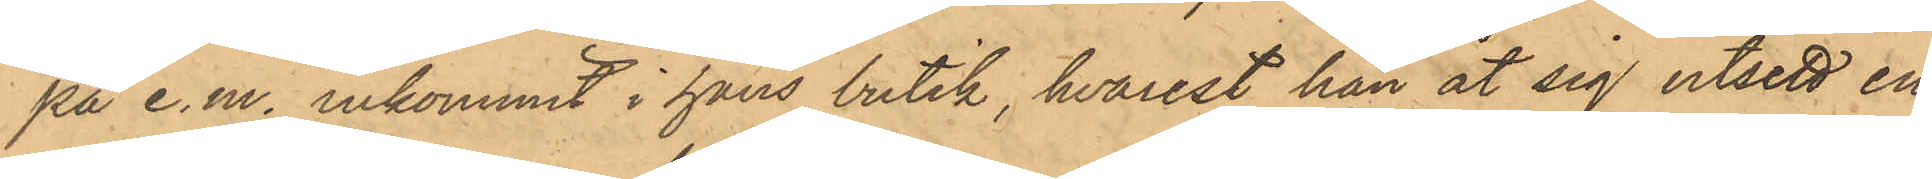på e.m. inkommit i hans butik, hvarest han åt sig utsett en
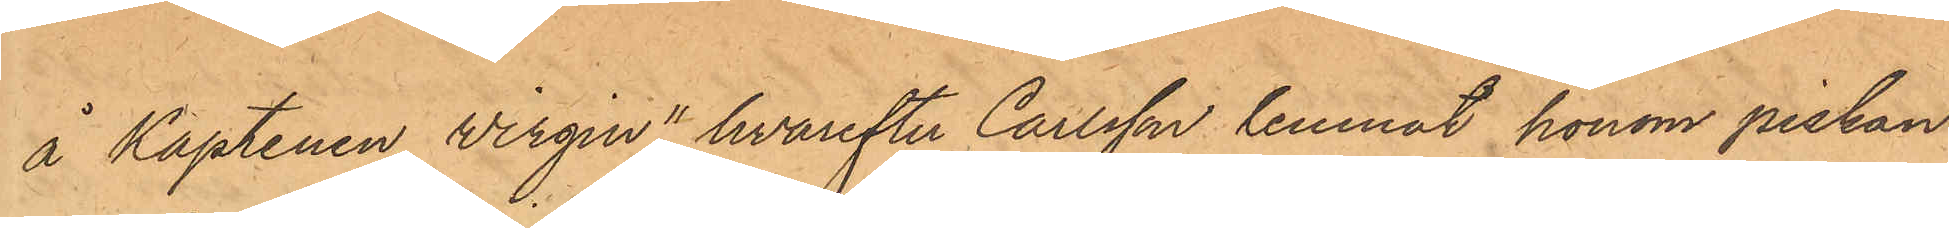å Kaptenen Wirgin", hvarefter Carlsson lemnat honom piskan
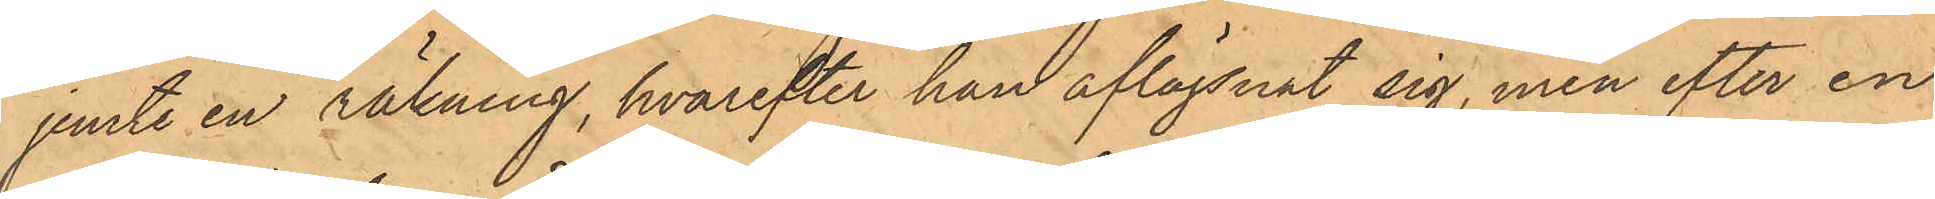jemte en räkning, hvarefter han aflägsnat sig, men efter en
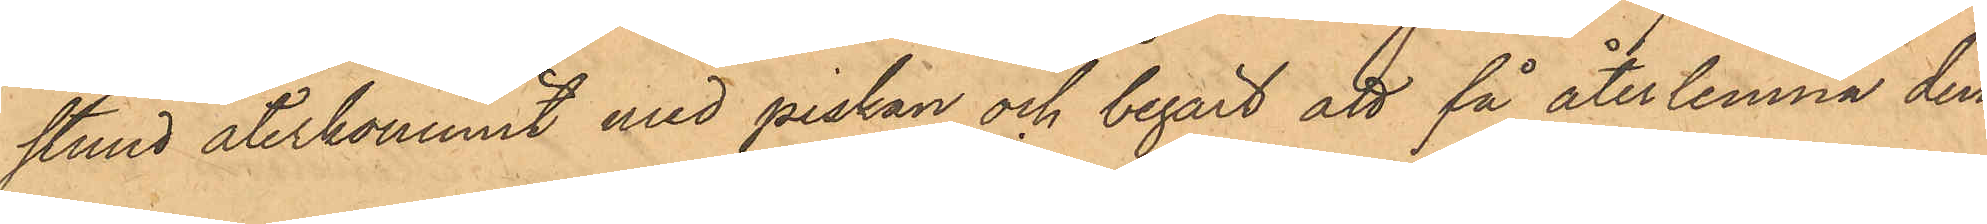stund återkommit med piskan och begärt att få återlemna den¬
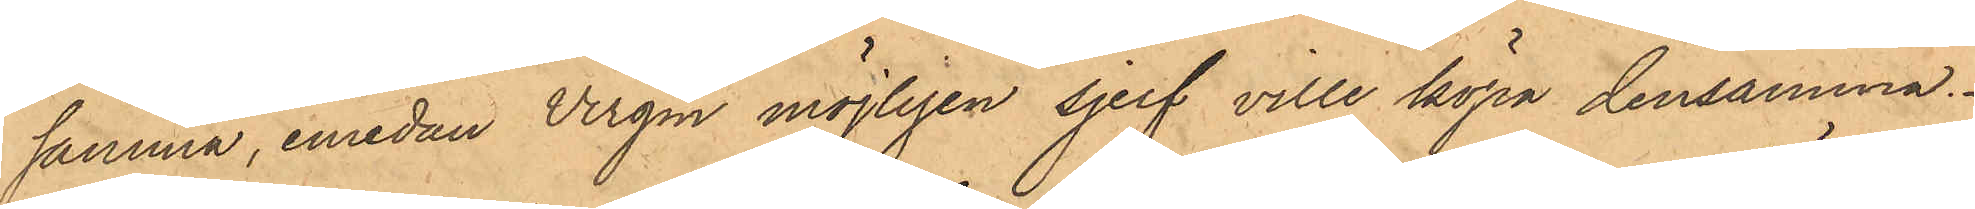samma, emedan Virgin möjligen sjelf ville köpa densamma.
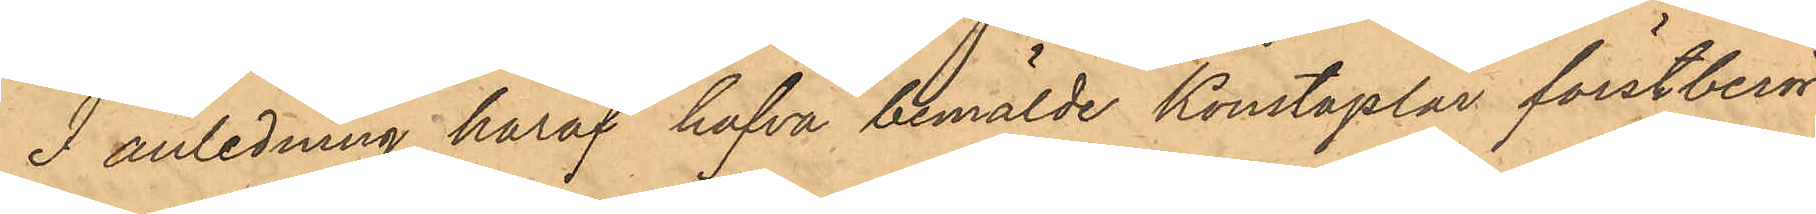I anledning häraf hafva bemälde Konstaplar förstberör¬
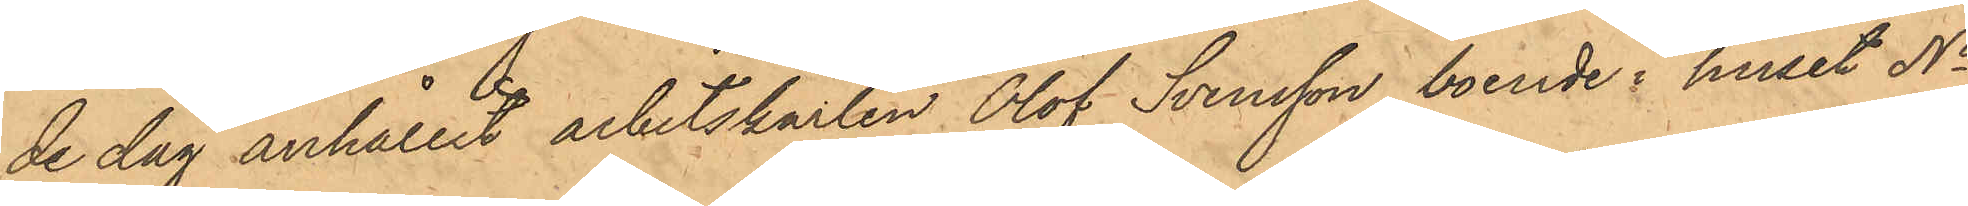de dag anhållit arbetskarlen Olof Svensson, boende i huset No
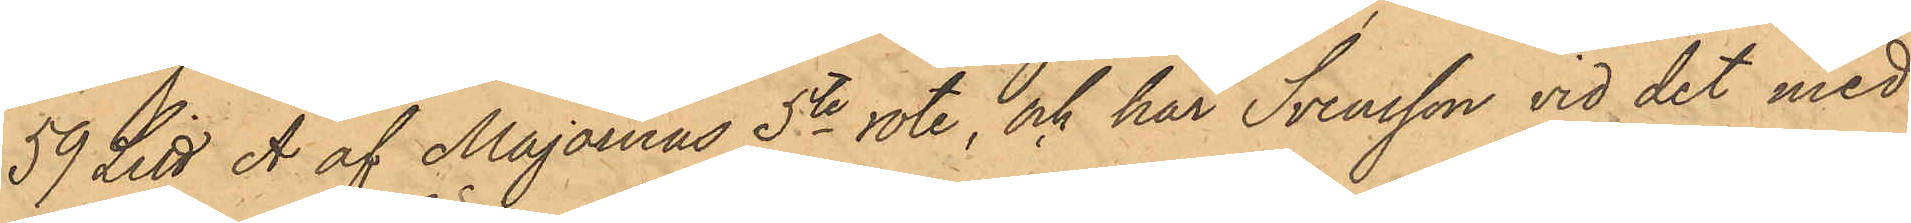59 Litt A af Majornas 5te rote, och har Svensson vid det med
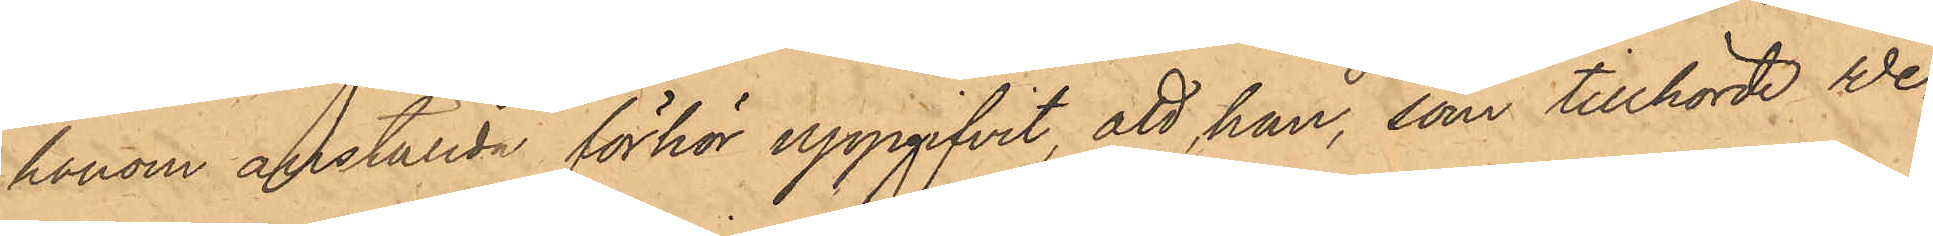honom anställda förhör uppgifvit att han, som tillhörde We¬
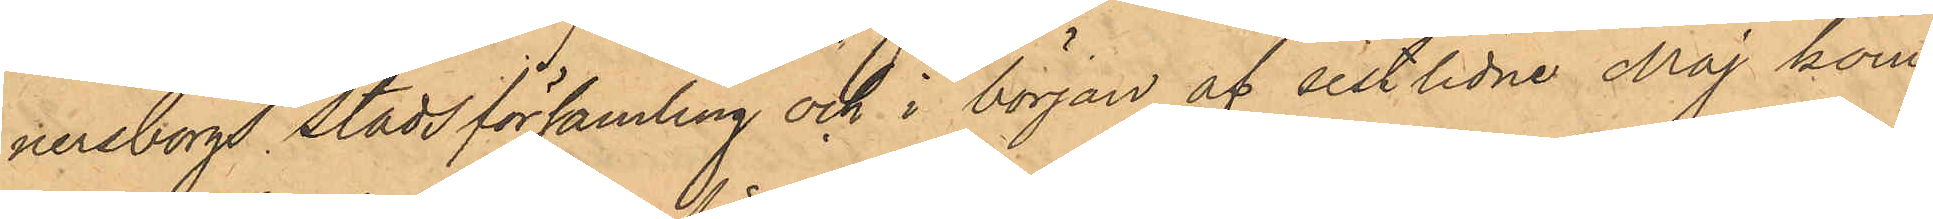nersborgs Stadsförsamling och i början af sistlidne Maj kom¬
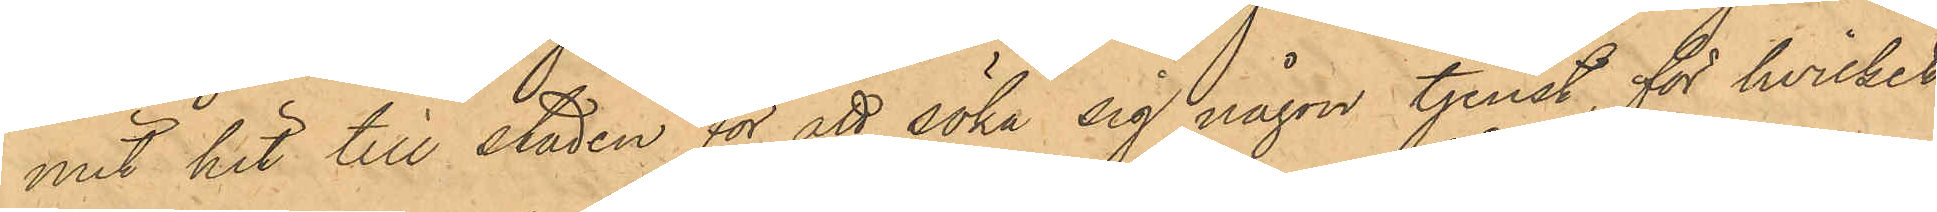mit hit till staden för att söka sig någon tjenst, för hvilket
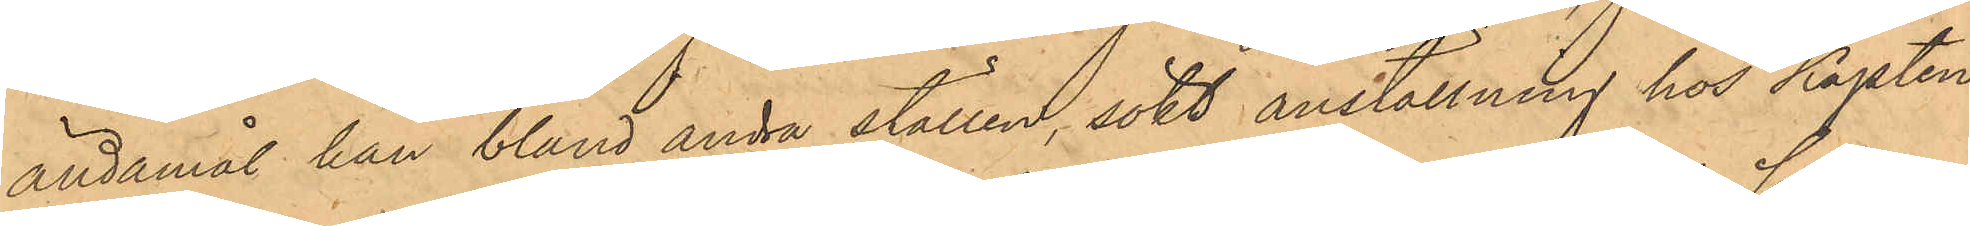ändamål han bland andra ställen, sökt anställning hos Kapten
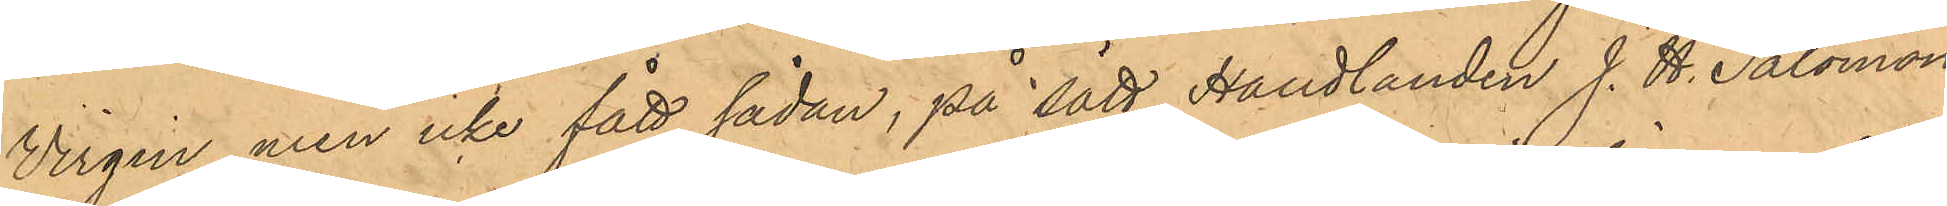Virgin, men icke fått sådan, på sätt Handlanden J. H. Salomon
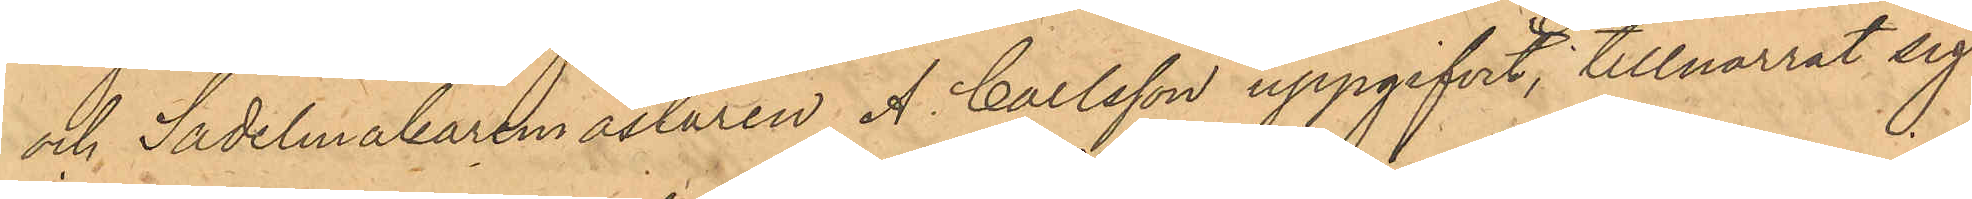och Sadelmakaremästaren A. Carlsson uppgifvit, tillnarrat sig
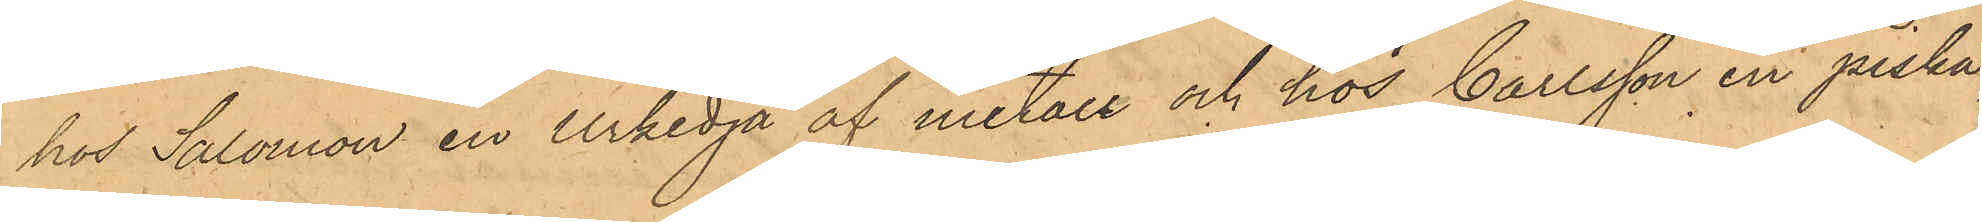hos Salomon en urkedja af metall och hos Carlsson en piska,
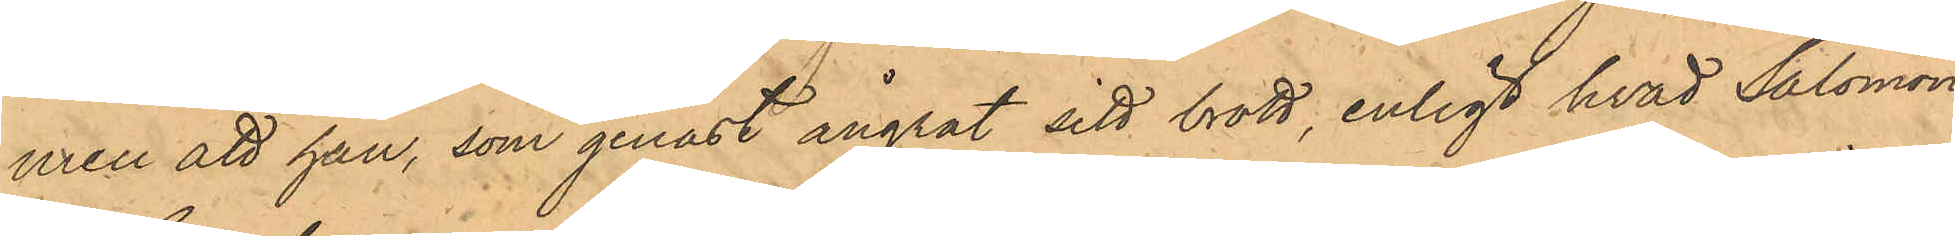men att han, som genast ångrat sitt brott, enligt hvad Salomon
